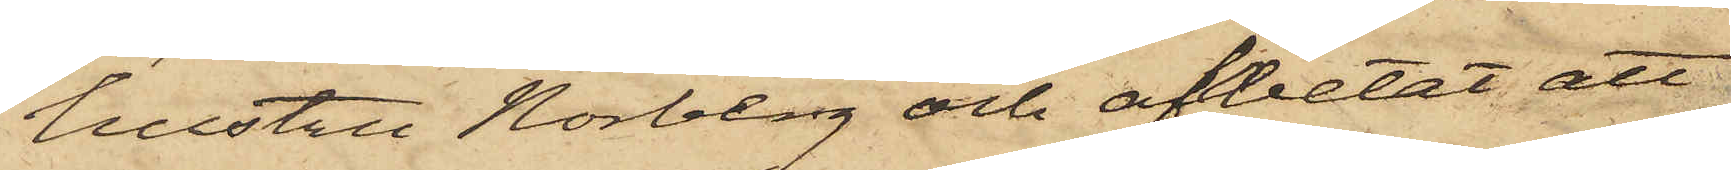hustru Norberg och afvetat att
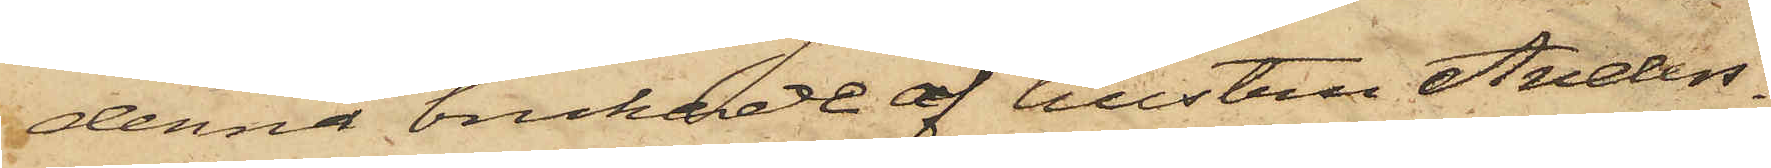denna brukade af hustru Anders¬
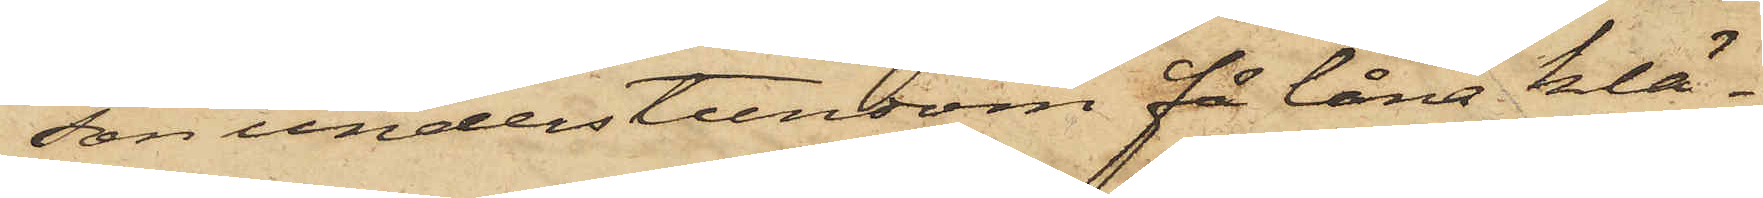son understundom få låna klä¬
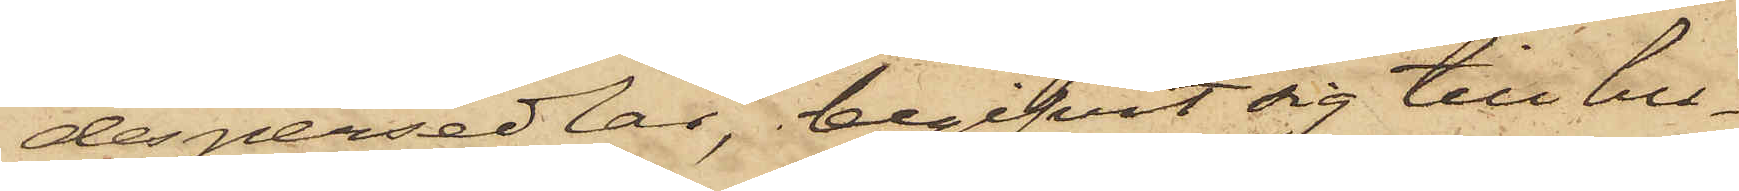despersedlar, begifvit sig till hu¬
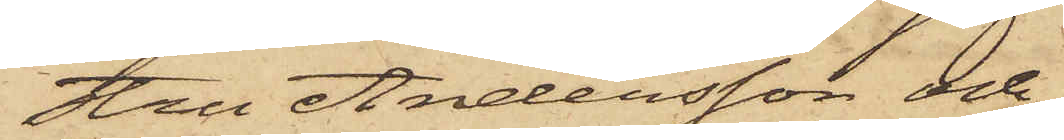stru Andersson och
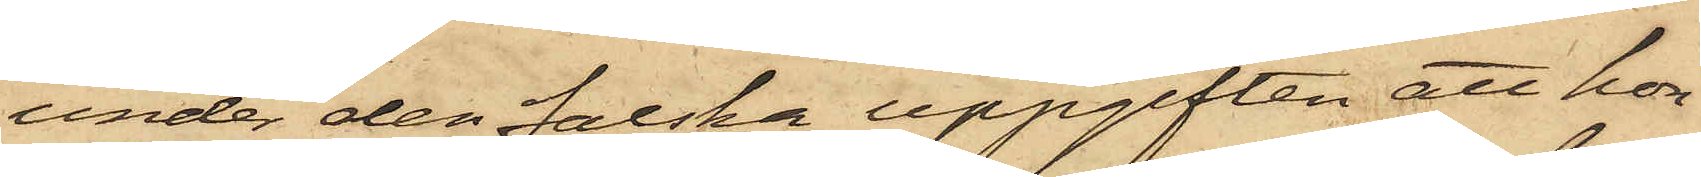under den falska uppgiften att hon
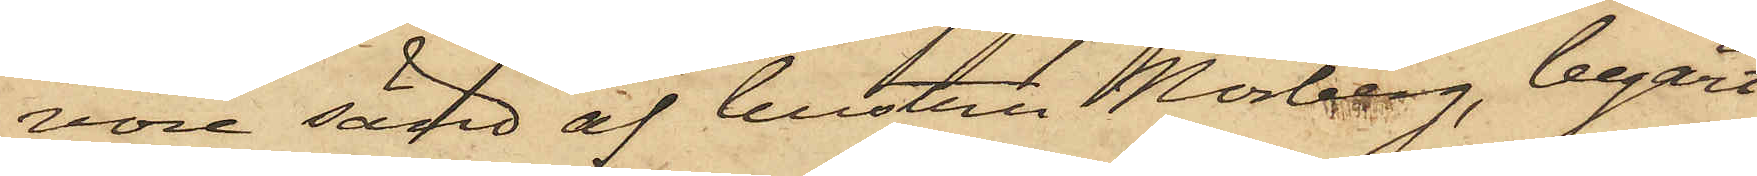vore sänd af hustru Norberg, begärt
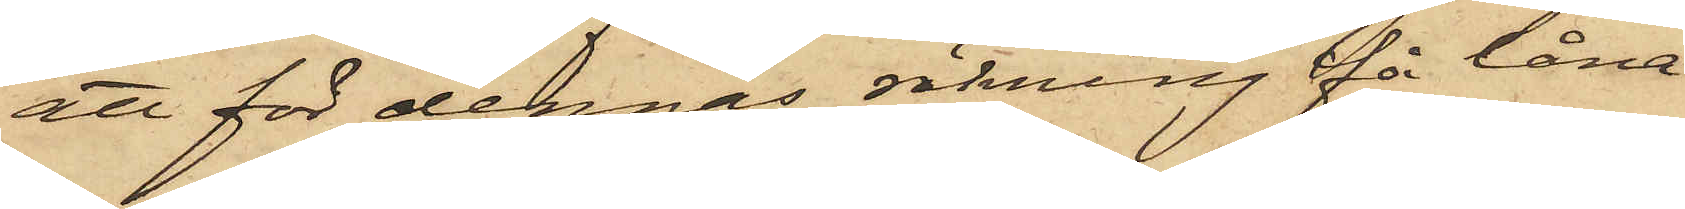att för dennes räkning för låna
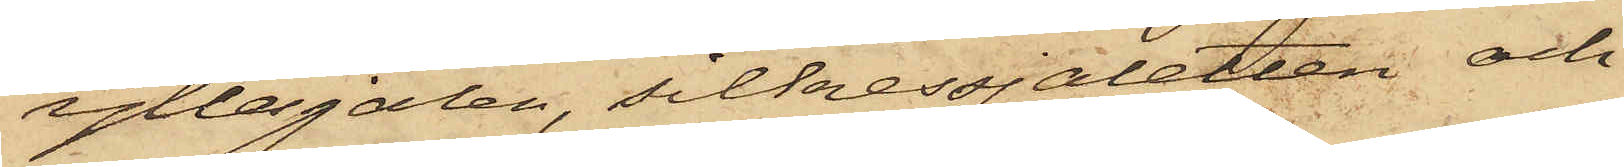yllesjalen, silkessjaletten och
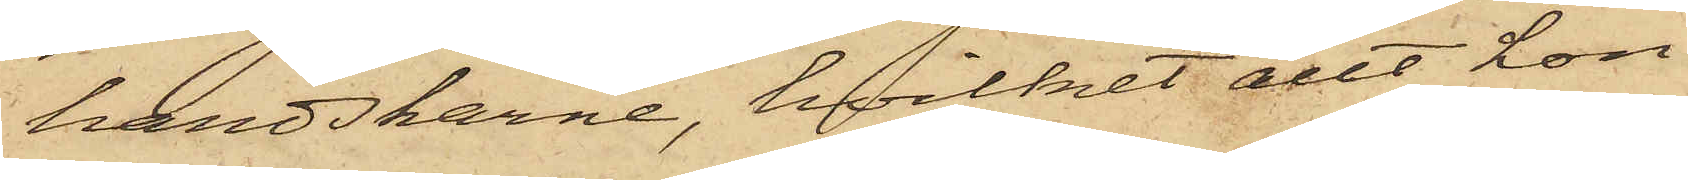handskarne, hvilket allt hon
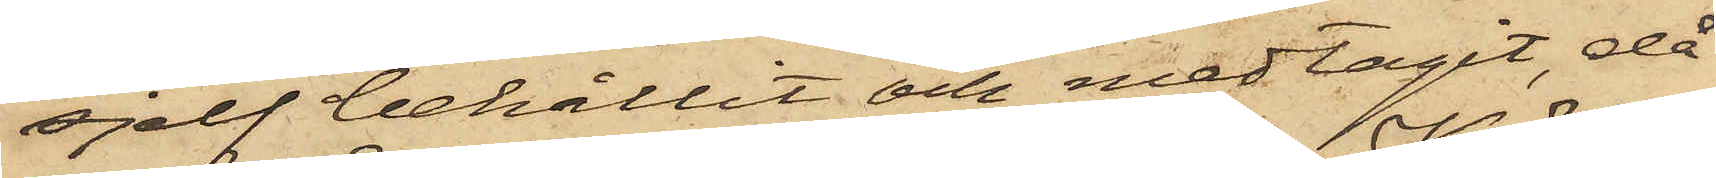sjelf behållit och medtagit, då
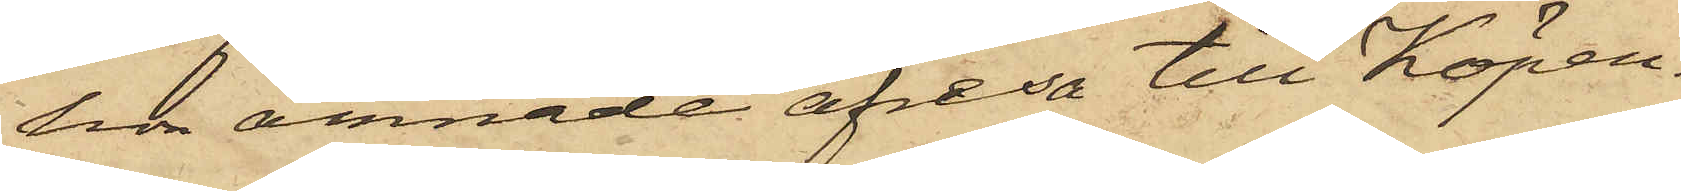hon ämnade afresa till Köpen¬
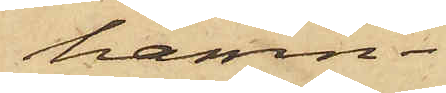hamn.
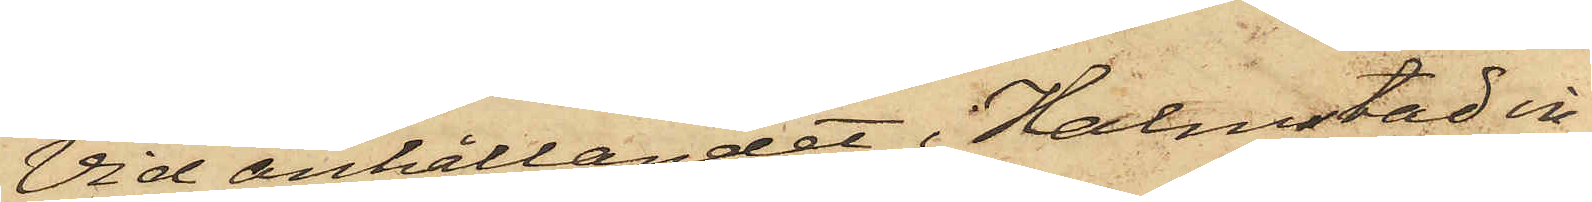Vid anhållandet i Halmstad in¬
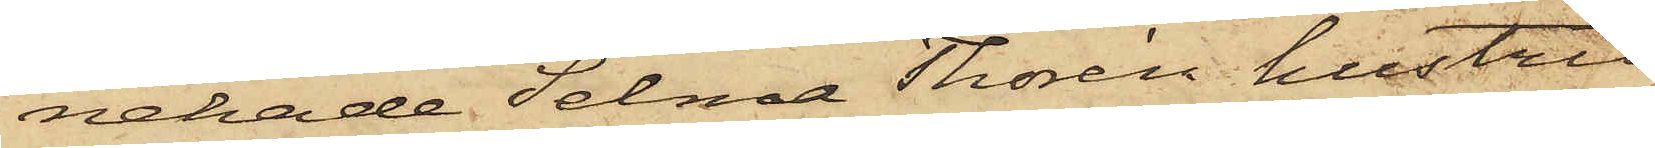nehade Selma Thorén hustru
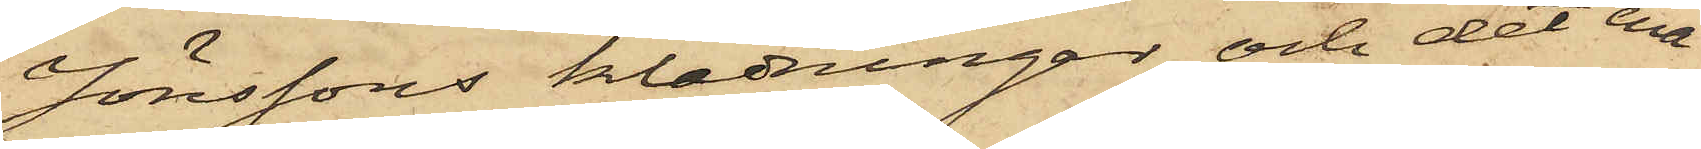Jönssons klädningar och det ena
